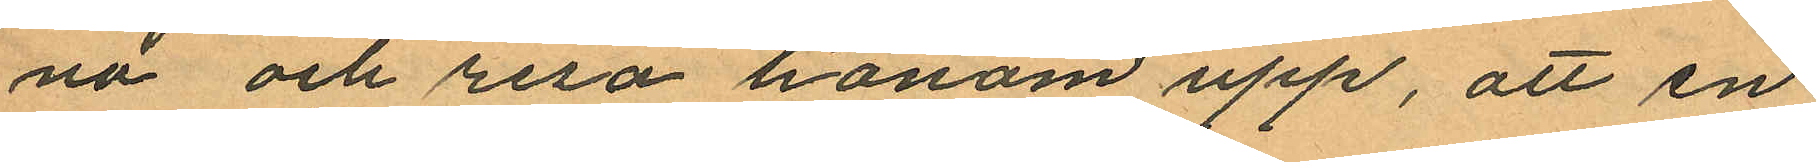na och resa honom upp, att en
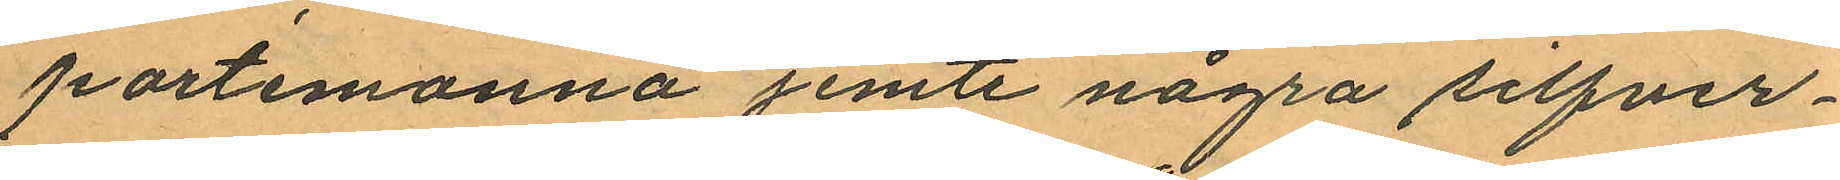portemonnä jemte några silfver¬
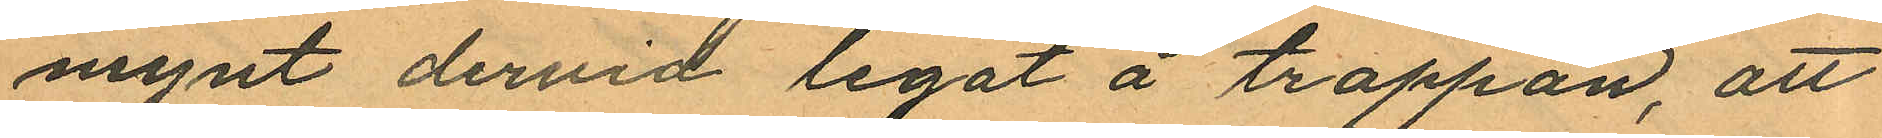mynt dervid legat å trappan, att
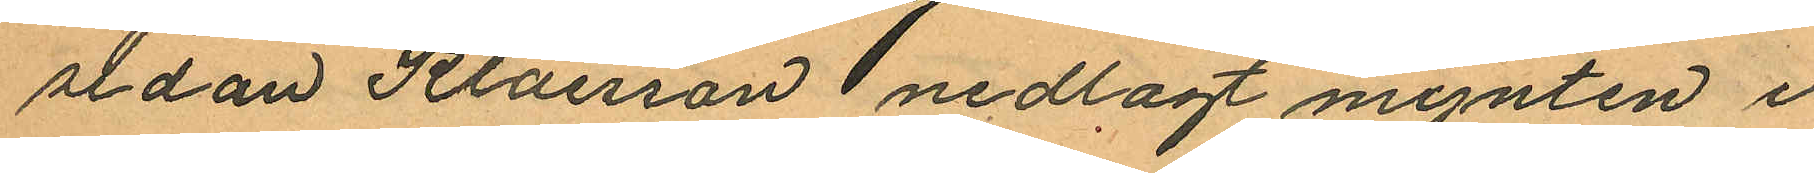sedan Klaesson nedlagt mynten i
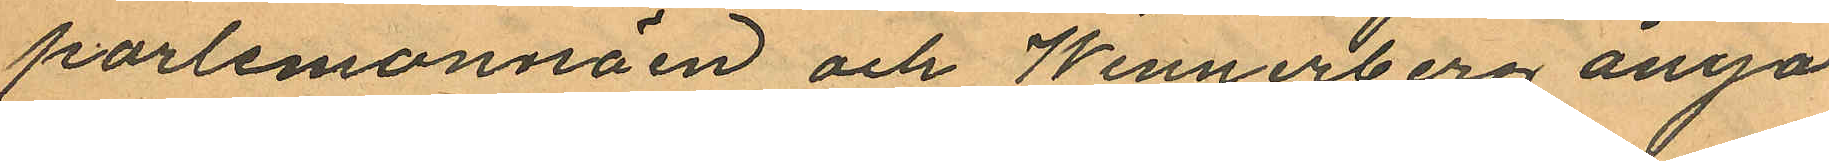porlemonnäen och Wennerberg ånyo
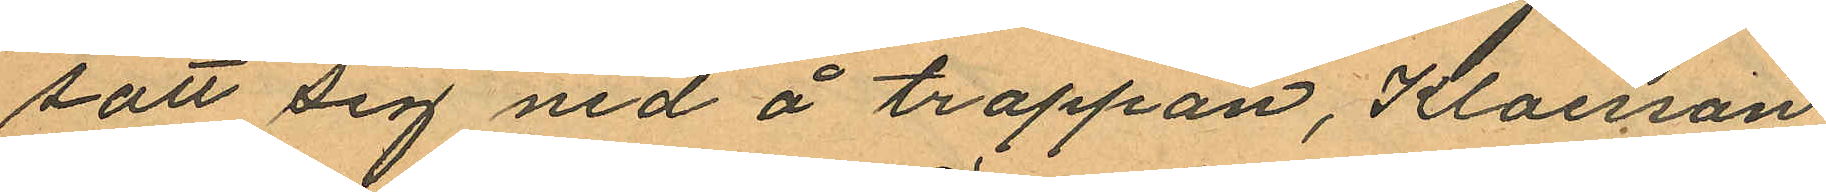satt sig ned å trappan, Klaesson
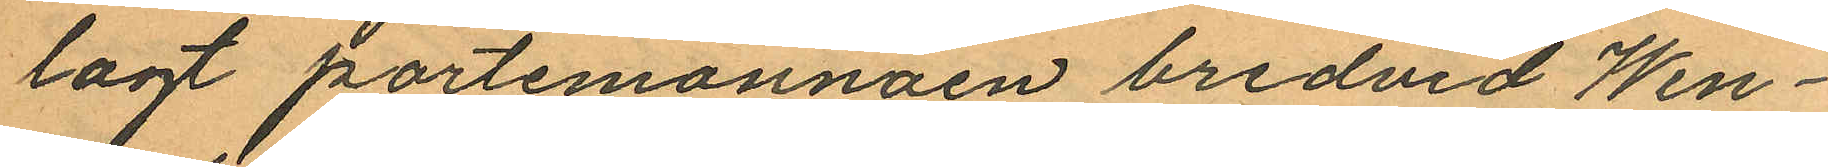lagt portemonnäen bredvid Wen¬
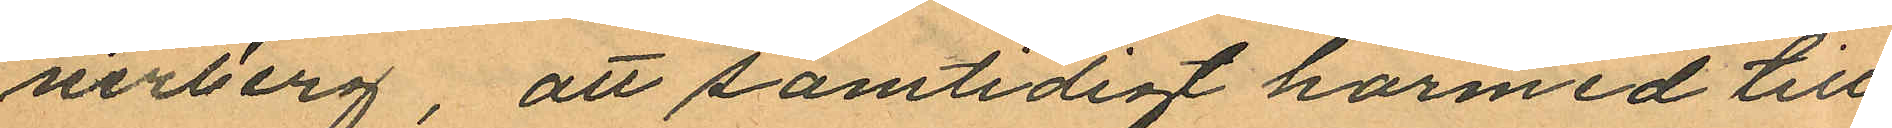nerberg, att samtidigt härmed till
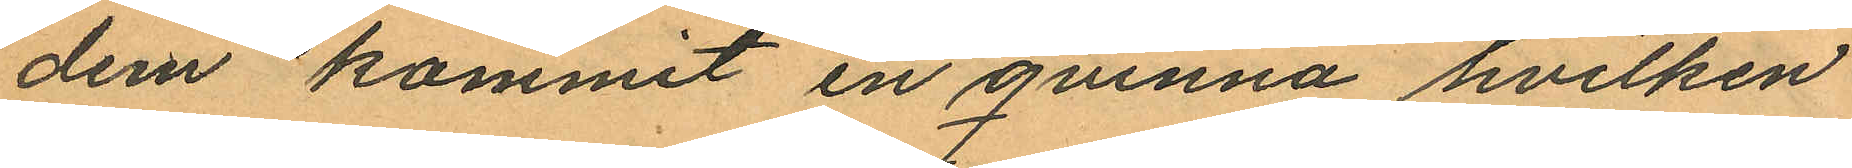dem kommit en qvinna hvilken
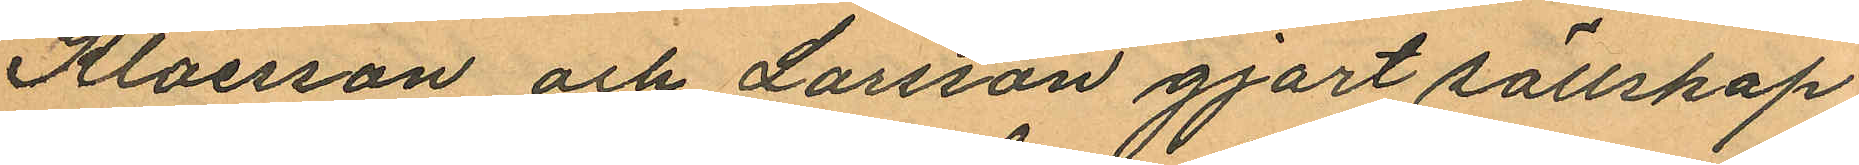Klaesson och Larsson gjort sällskap
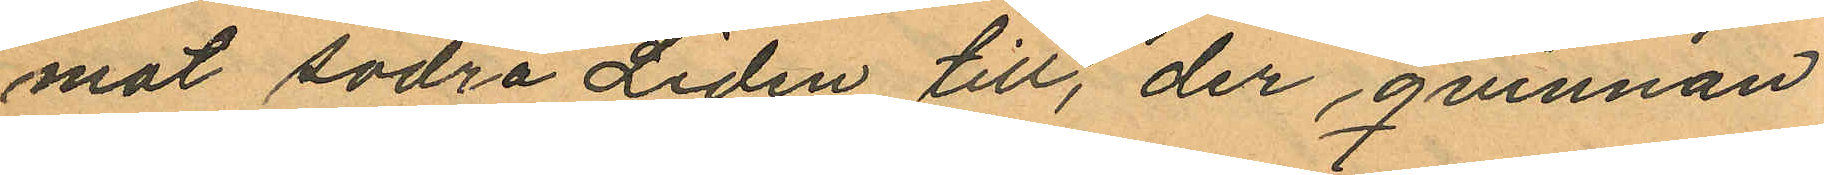mot Södra Liden till, der qvinnan
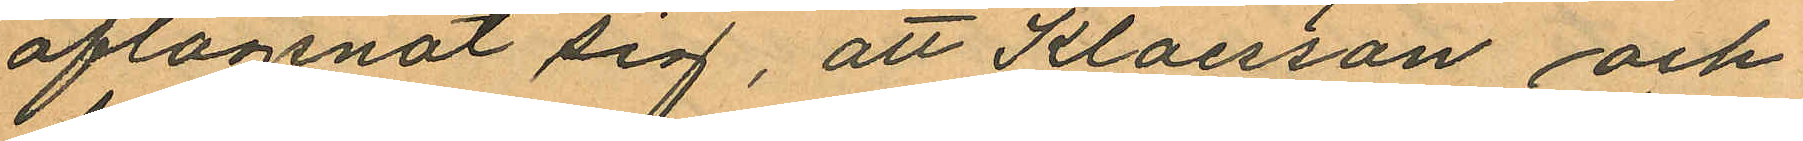aflägsnat sig, att Klaesson och
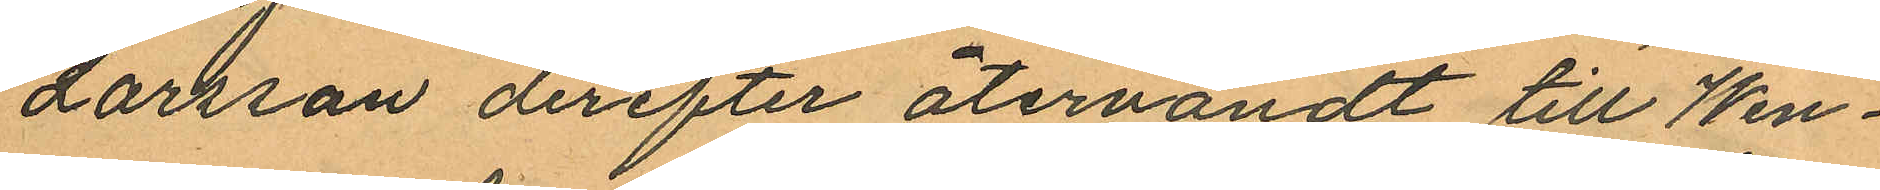Larsson derefter återvändt till Wen¬
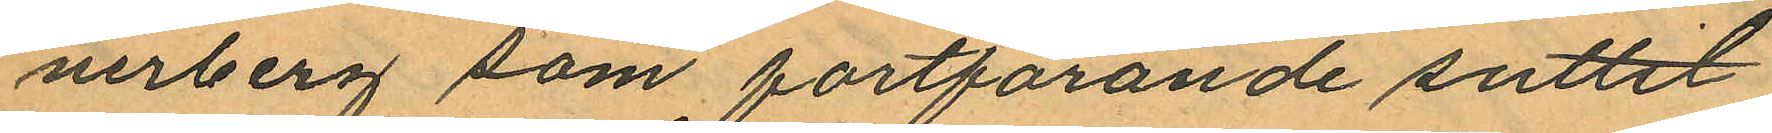nerberg som fortfarande suttit
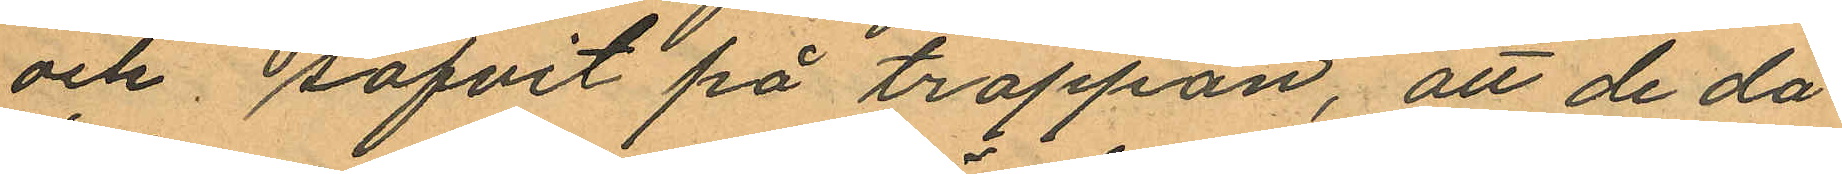och sofvit på trappan, att de då
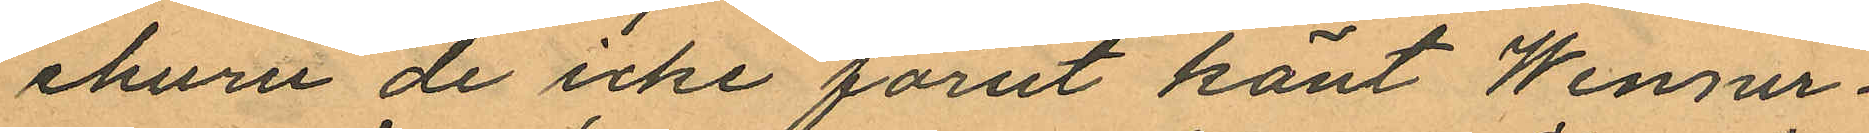ehuru de icke förut känt Wenner¬
